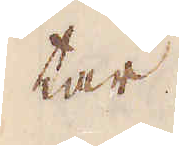tar.
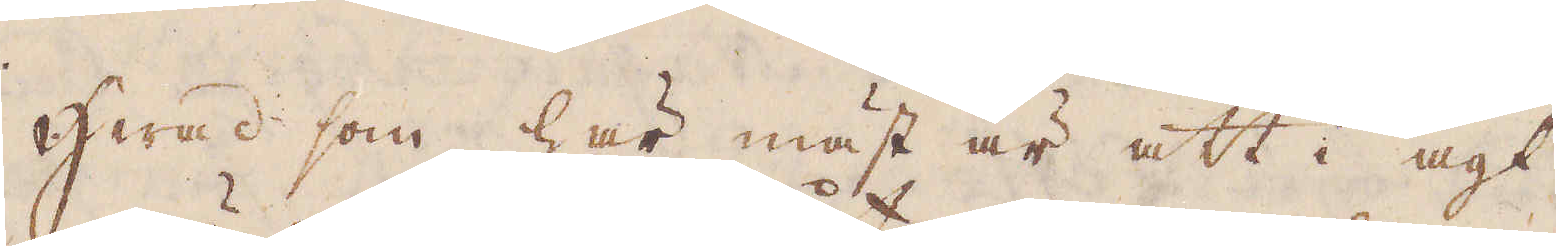Hwad som här mäst är att i agt
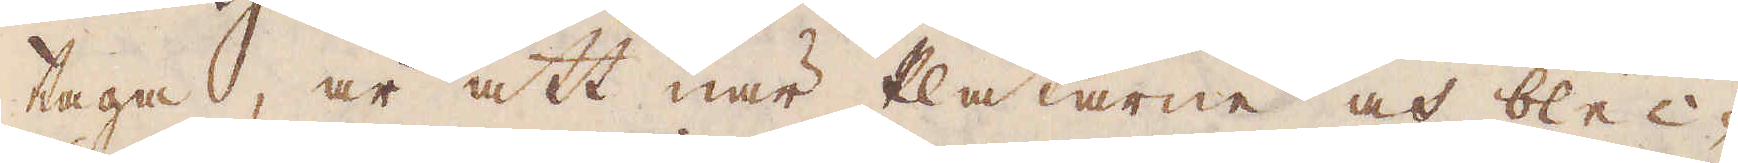taga, är att när Plåtarne och blec-
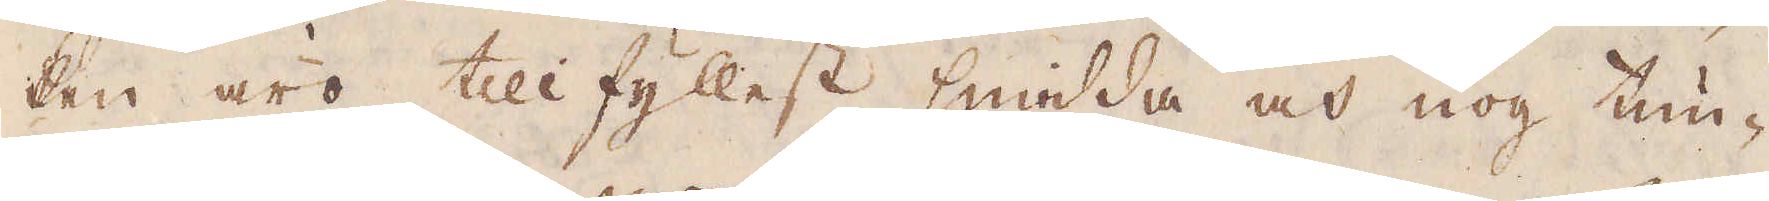ken äro tillfyllest smidda och nog tun-
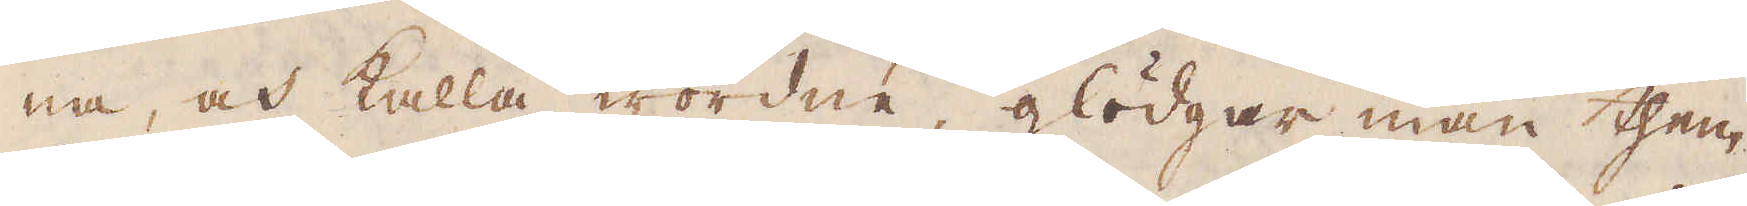na, och kalla wordne, glödgar man them
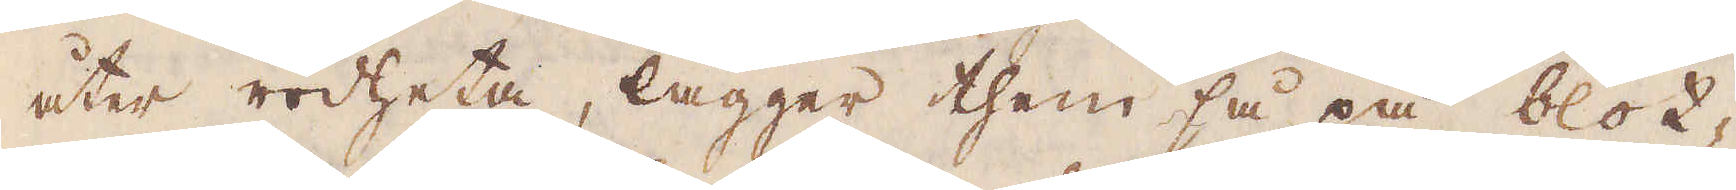åter rödheta, lägger them så på blot-
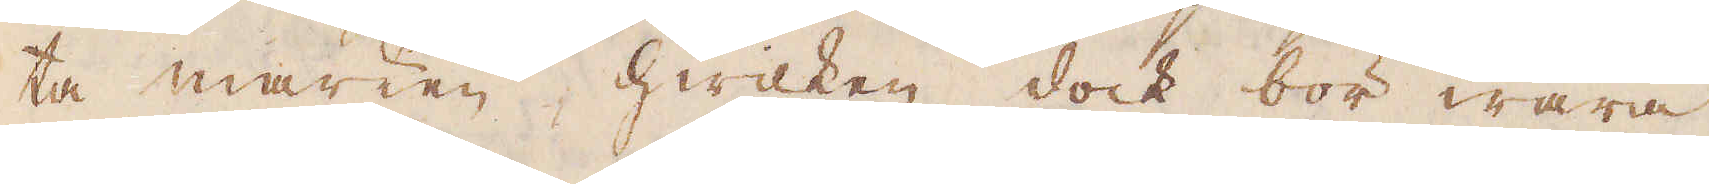ta marken, hwilken dock bör wara
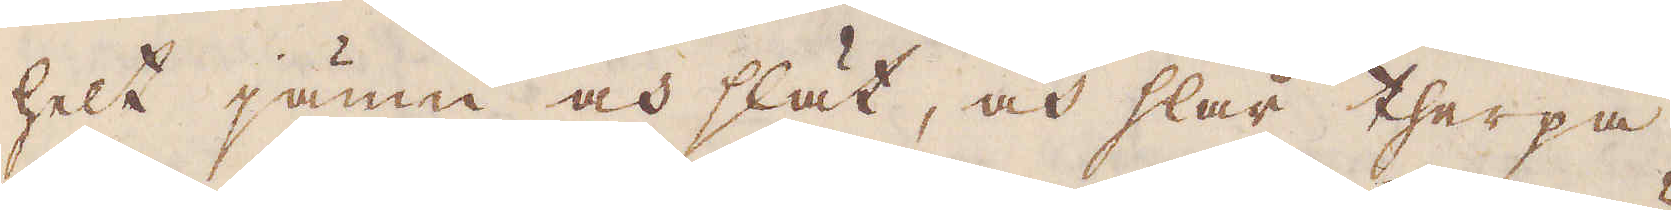helt jämn och slätt, och slår therpå,
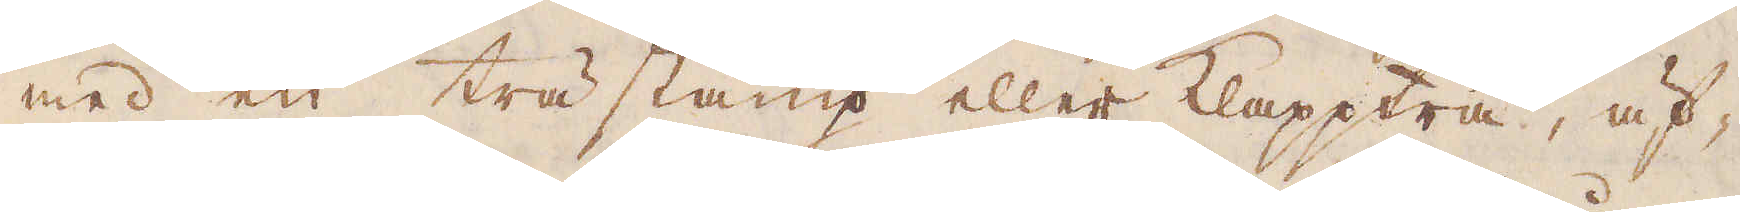med en trästamp eller klappträ, äf-
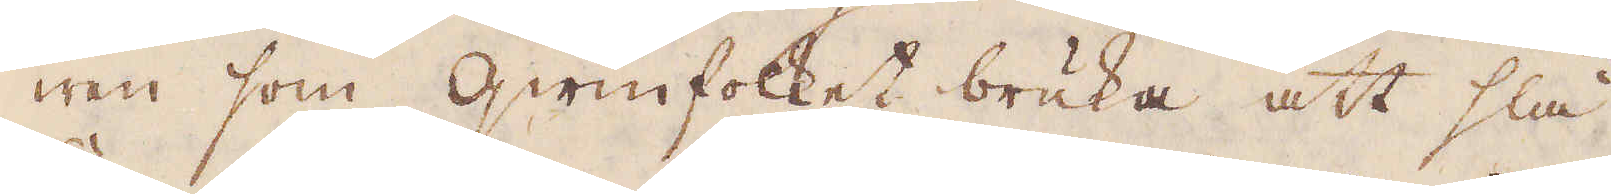wen som qwinfolket bruka att slå
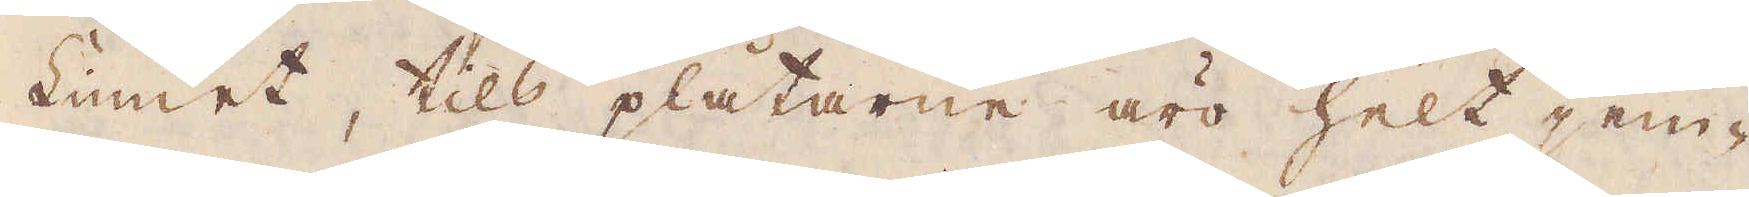Linnet, tils plåtarne äro helt jem-
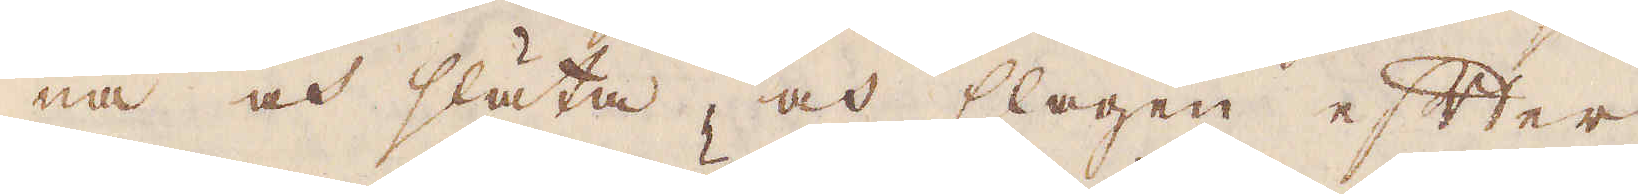na och släta, och slagen efter
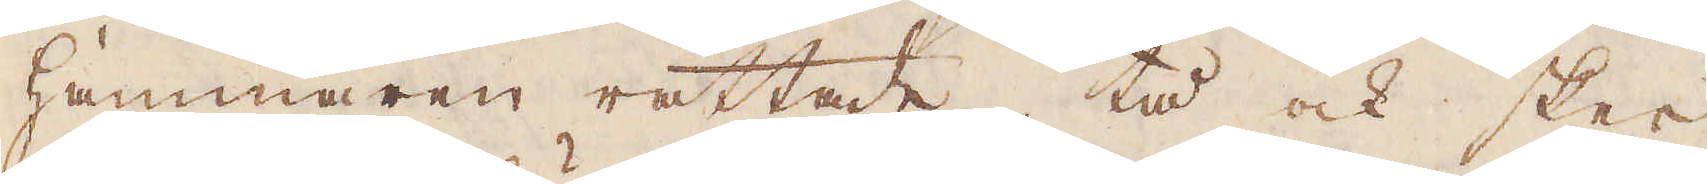hammaren rättade, tå ock sker
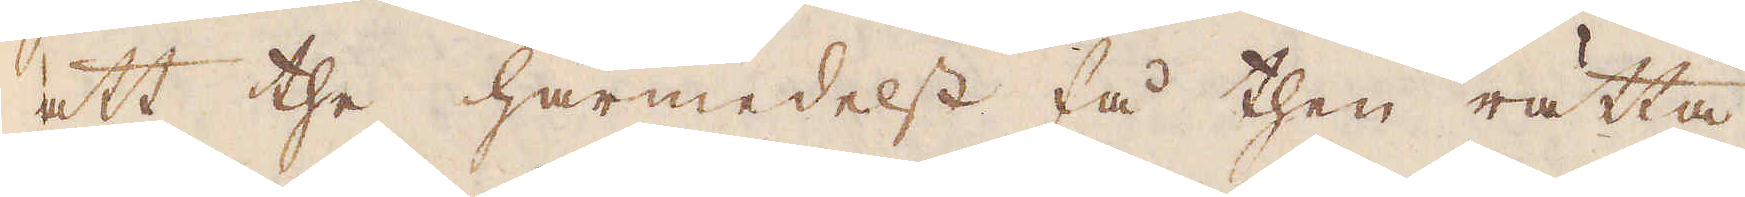att the härmedelst få then rätta
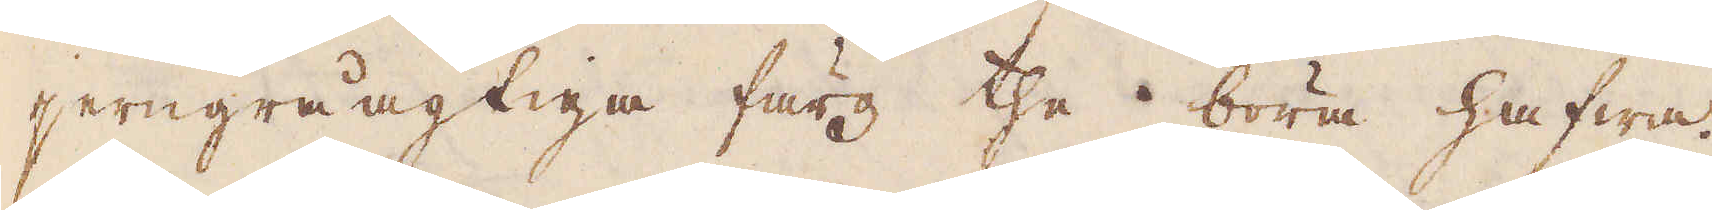jerngråagtiga färg the böra hafwa.
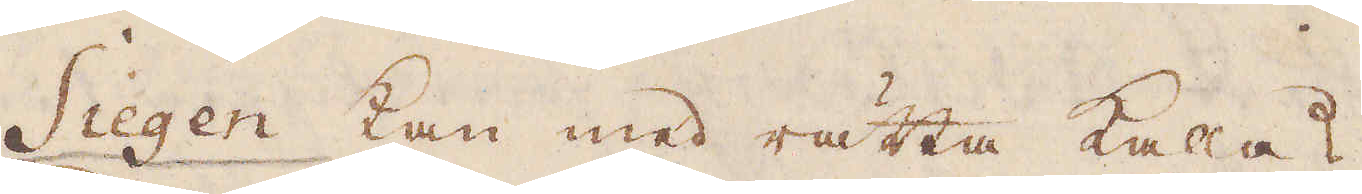Siegen kan med rätta kalas
